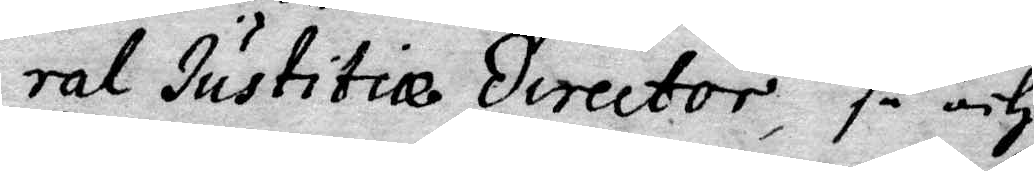ral Justitiæ director, så och
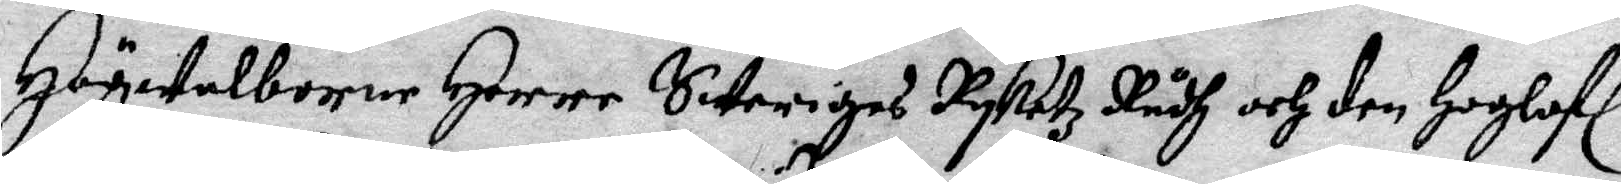Högwelborne Herre, Sweriges Ryketz Rådh och den Hoglofl
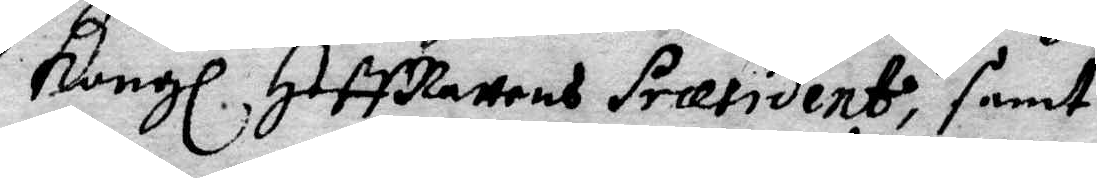Kongl. HoffRättens Præsident, samt
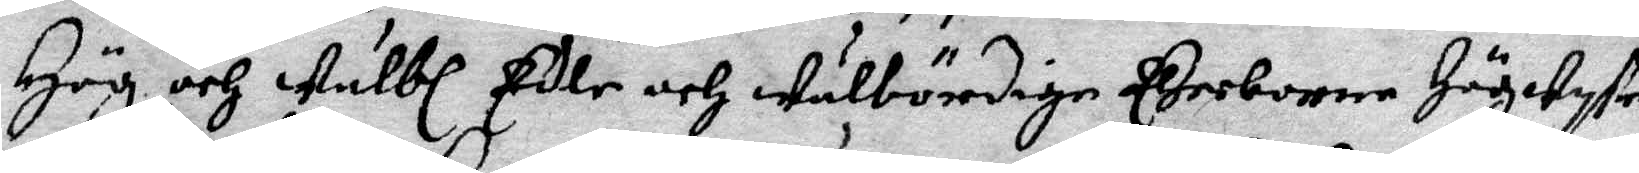Hög och Wälbl. Edle och Wälbördige Ederborne Högwyse
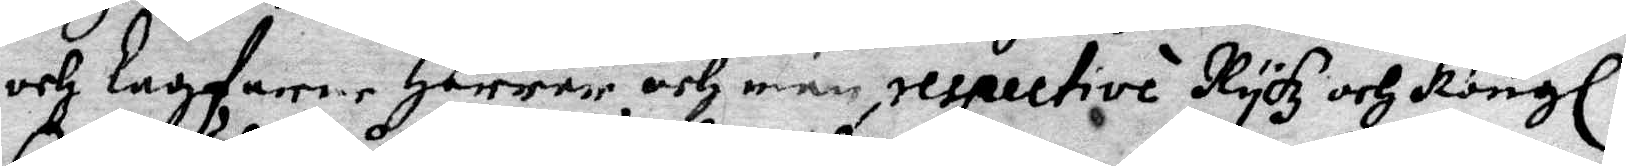och lagfarne Herrar och män, respective Rykz och Kongl.
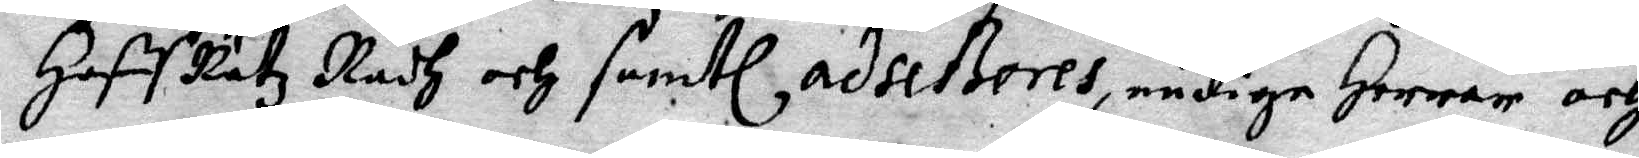HoffRätz Rådh och samtl adseßores, nådige Herrar och
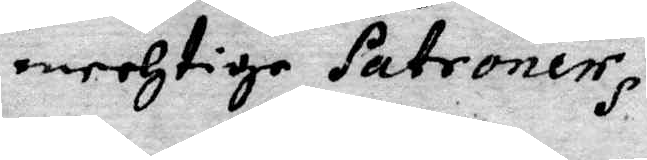mechtige Patroner.
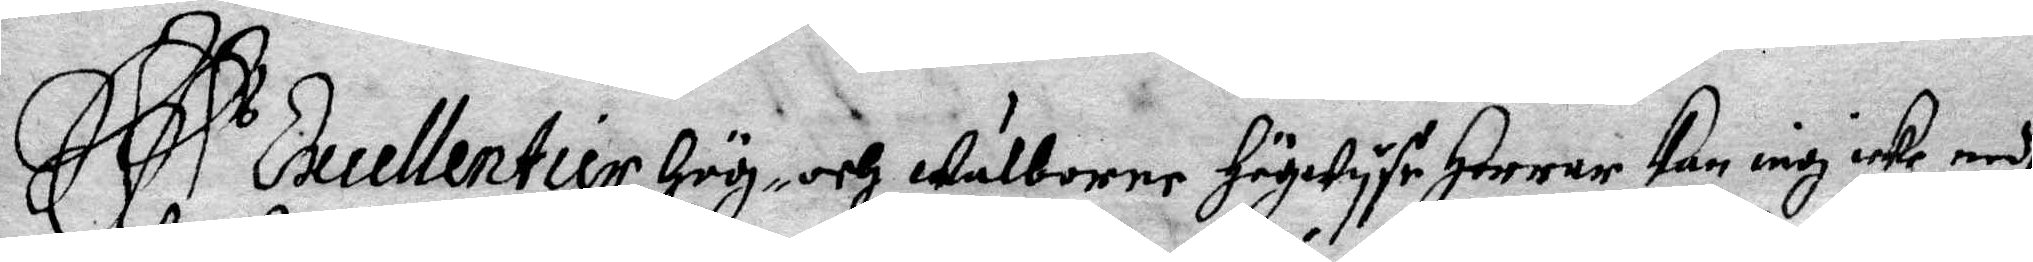Es Excellentier, Hög- och Wälborne Högwyse Herrar Kan iag icke medh
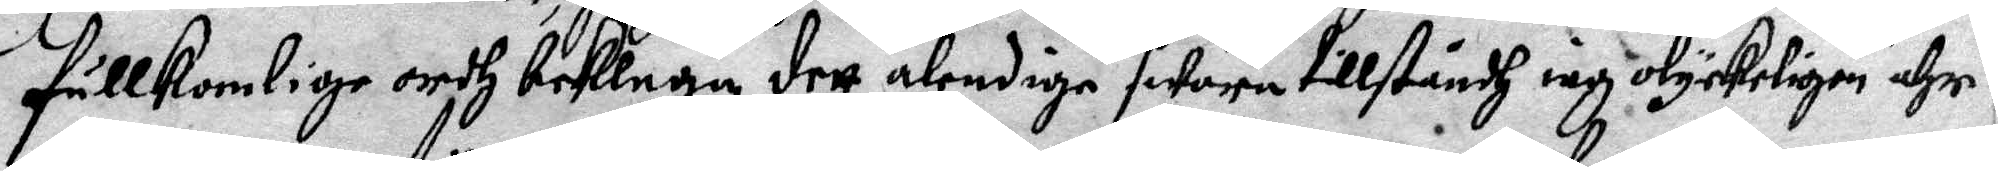fullkomlige ordh beklaga dett älendiga swåra tillståndh iag olyckeligen ähr
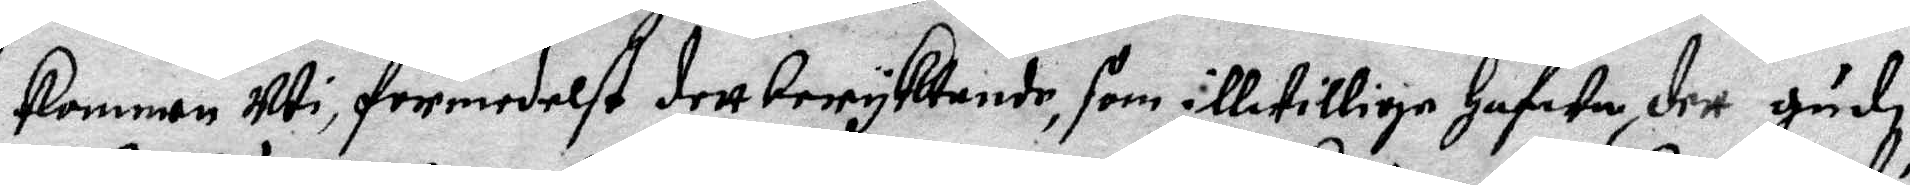kommen uti, förmedelst dett beryktande, som illwillige Hafwa, det gudi
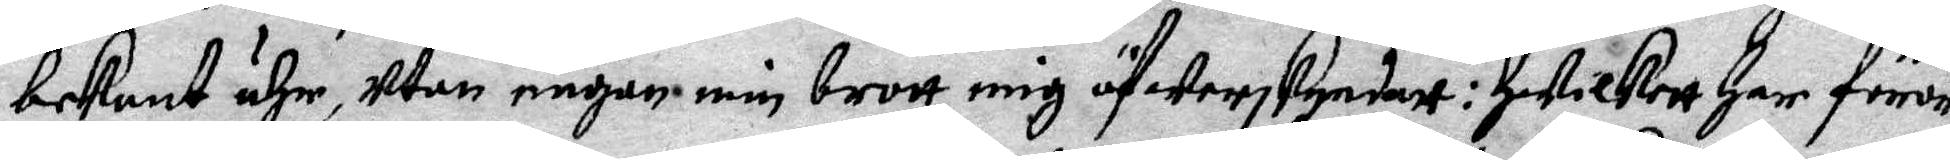bekant ähr, utan någon min brott mig öfwerskyndatt: Hwilkett har föror¬
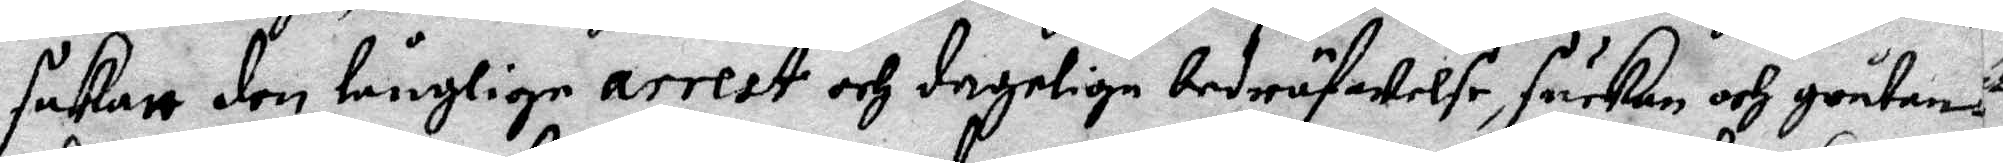sakatt den långlige arrest och dagelige bedröfwelse, suckan och gråtan¬
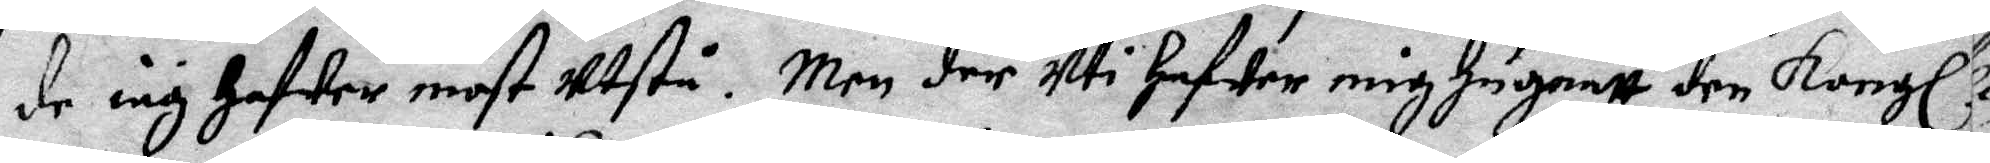de iag hafwer most utstå. Men der Uti hafwer mig Hugnatt den Kongl. 
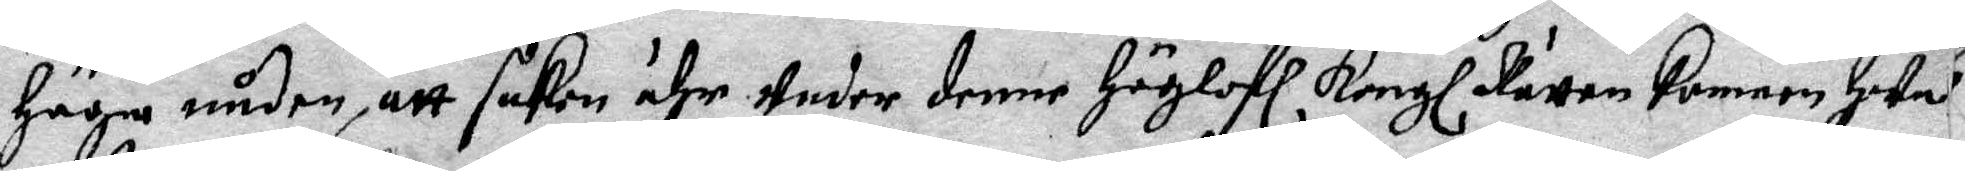höga nåden, att saken ähr, Under denne Höglofl Kongl. Rätten kommen, Hwa¬
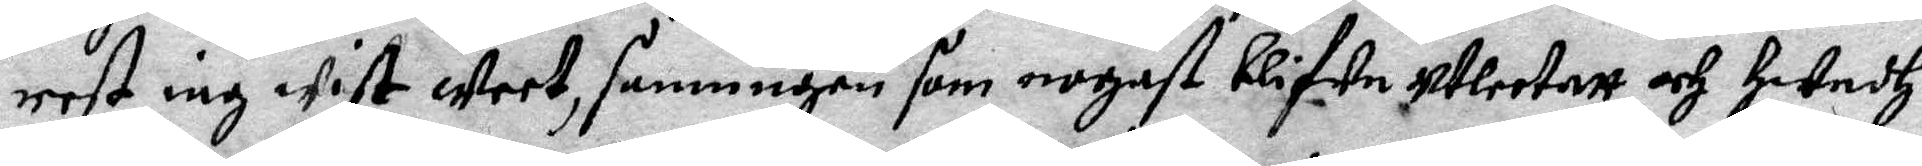rest iag wist weet, sanningen som nogast blifwa utleetatt och Hwadh
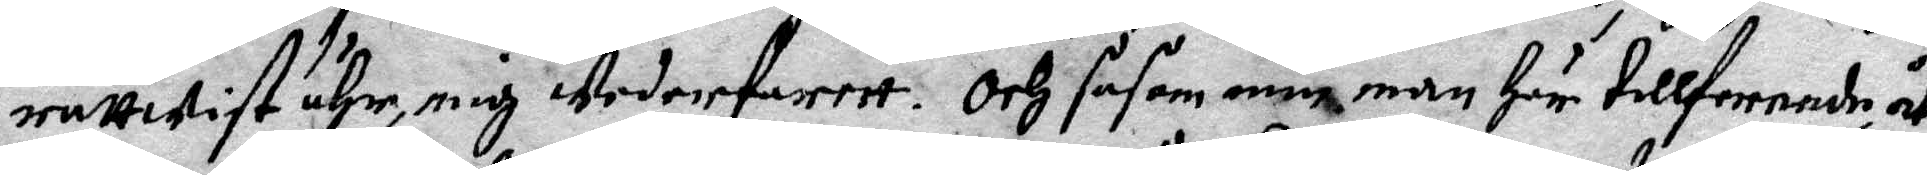rättwist ähr, mig wederfarett. Och såsom min man Här tillforende åt¬
